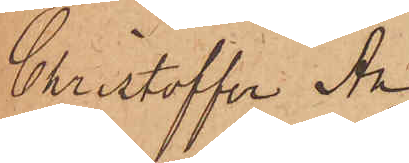Christoffer An¬
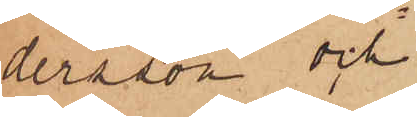dersson och
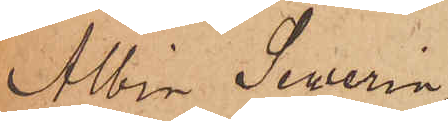Albin Sewerin¬
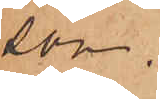son.
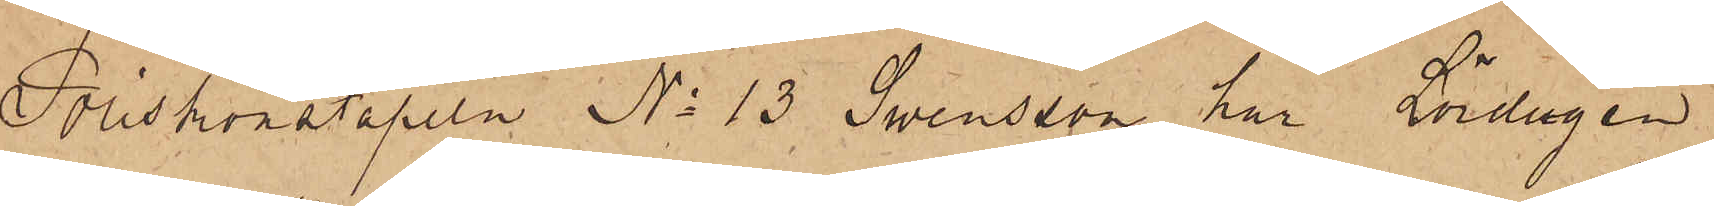Poliskonstapeln No 13 Swensson har Lördagen
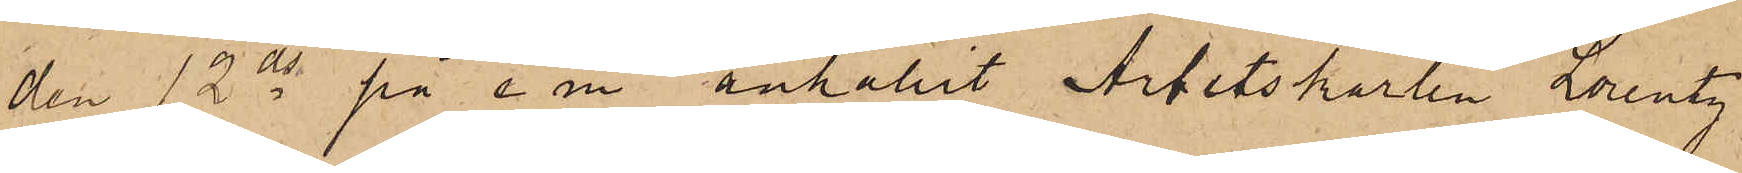den 12 ds på e. m. anhållit Arbetskarlen Lorentz
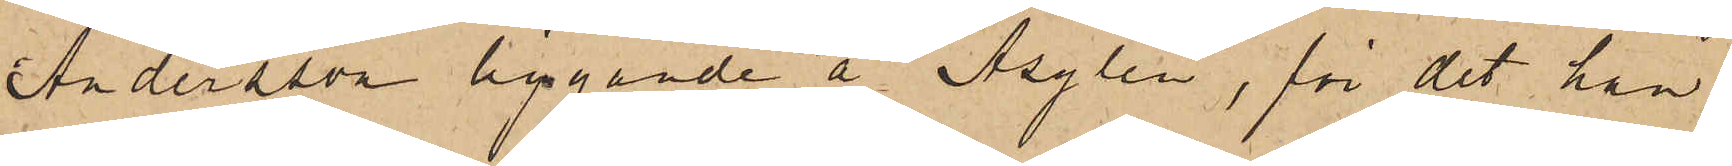Andersson liggande å Asylen, för det han
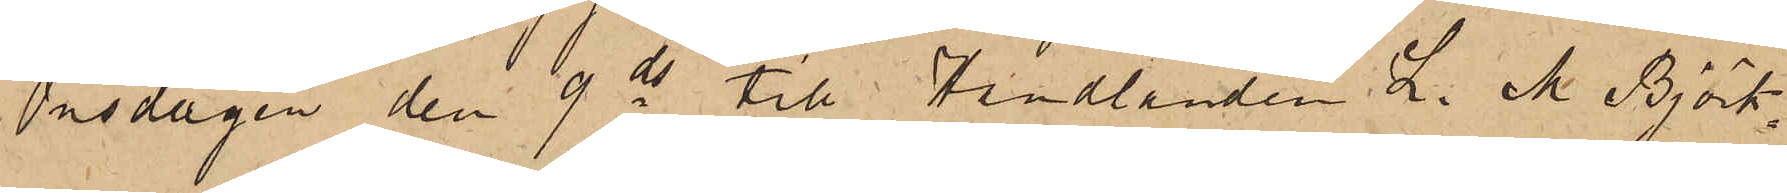Onsdagen den 9 ds till Handlanden L. M. Björk¬
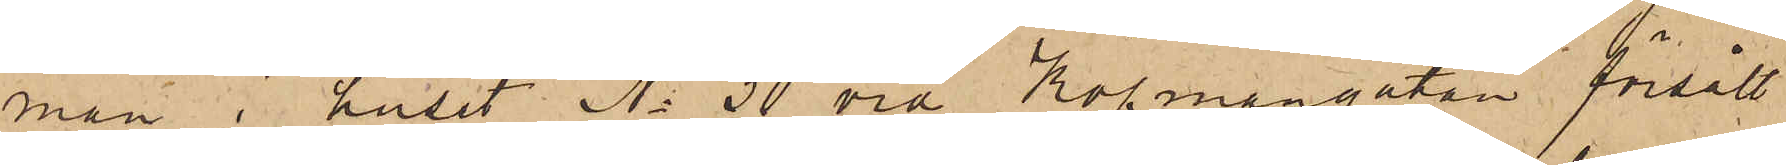man i huset No 30 vid Köpmangatan försålt
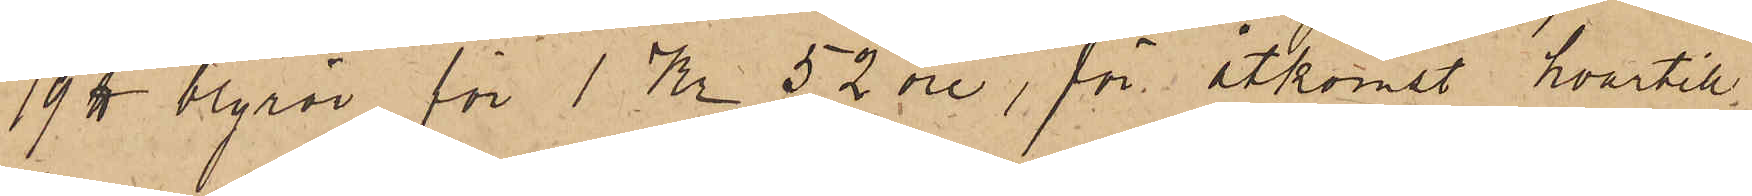19 ℔ blyrör för 1 Kr 52 öre, för åtkomst hvartill¬
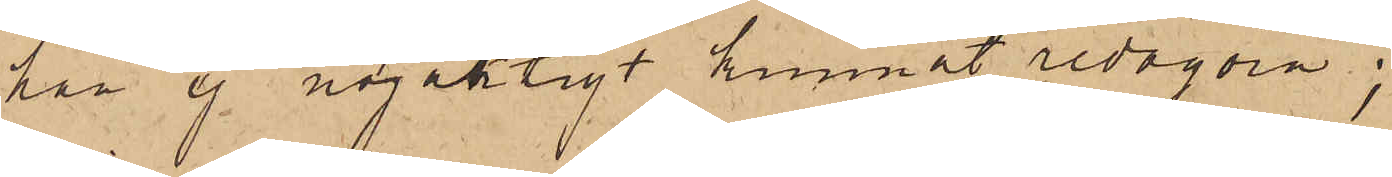han ej nöjaktigt kunnat redogöra;
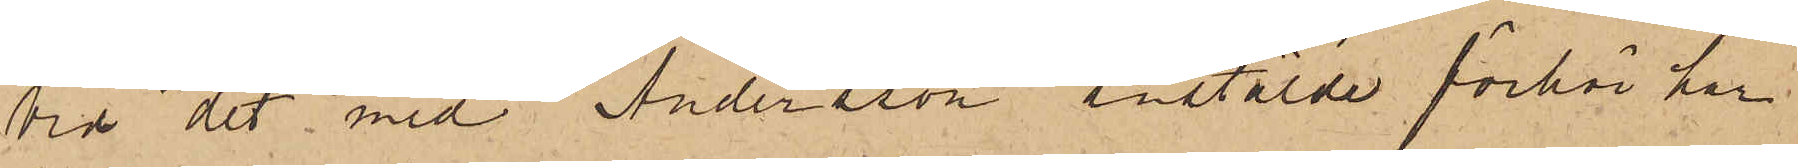Vid det med Andersson anstälde förhör har
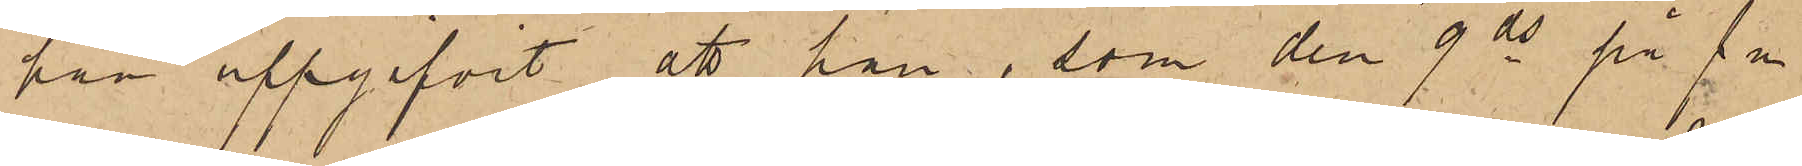han uppgifvit, att han, som den 9 ds på f m
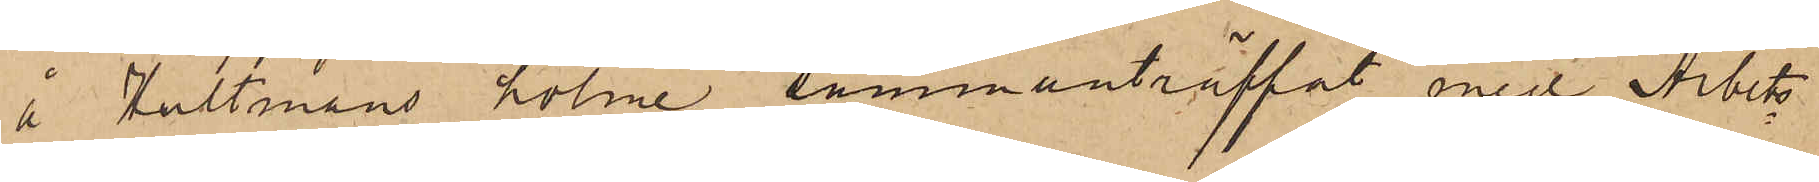å Hultmans holme sammanträffat med Arbets¬
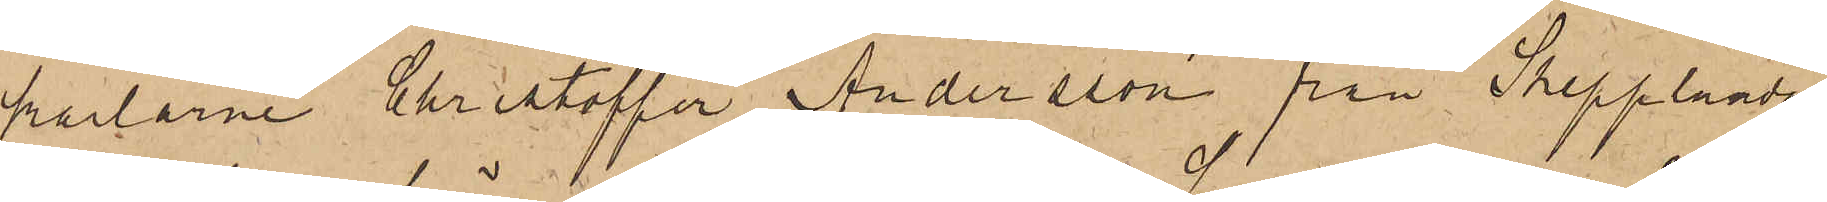karlarne Christoffer Andersson från Skepplanda
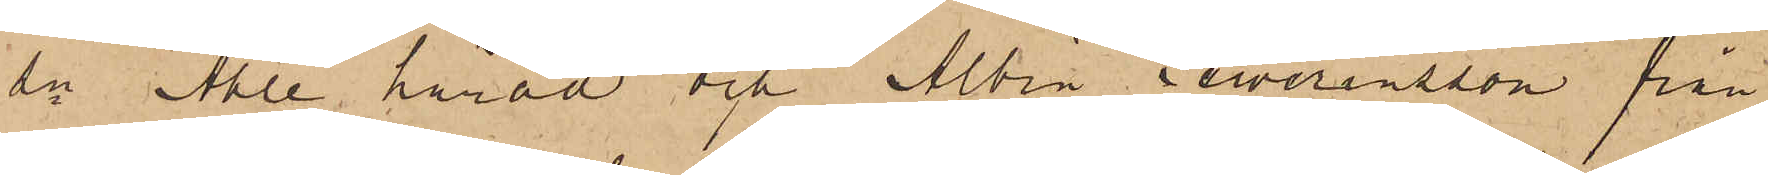sn Ahle härad och Albin Sewerinsson från
